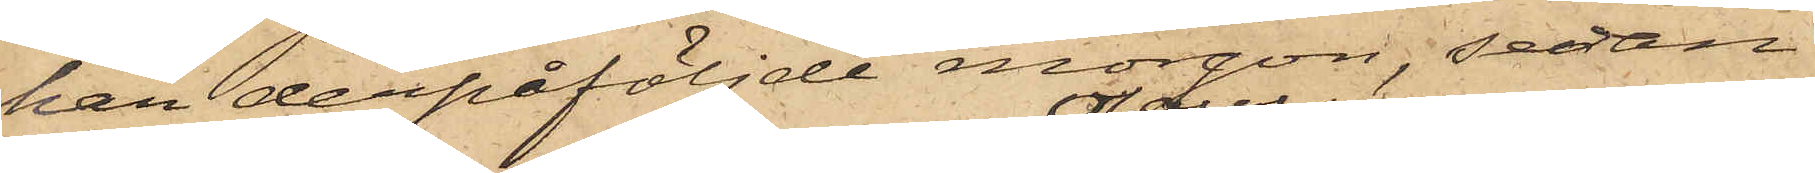han derpåföljde morgon, sedan
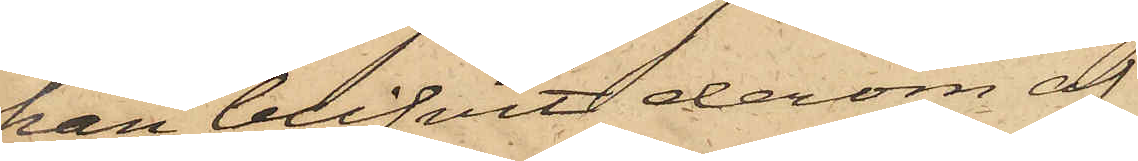han blifvit derom af
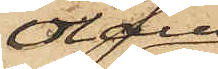Olaus
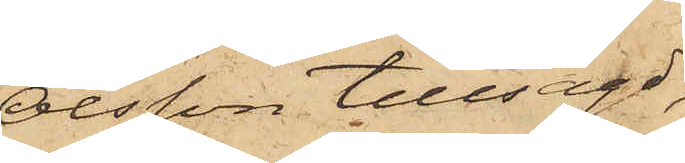Olsson tillsagd,
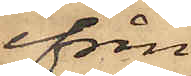ifrån
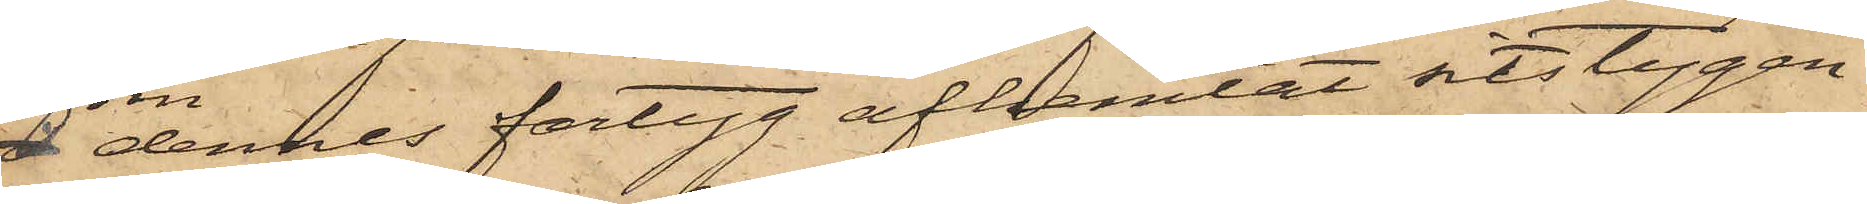dennes fartyg afhemtat sitstygen
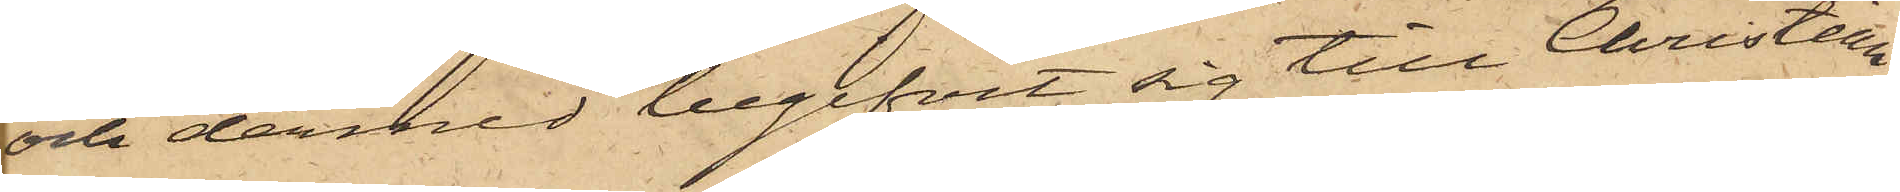och dermed begifvit sig till Christian
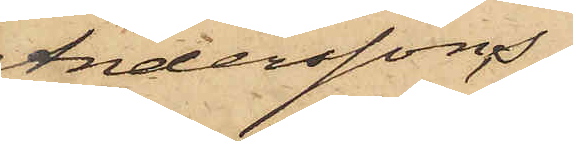Anderssons
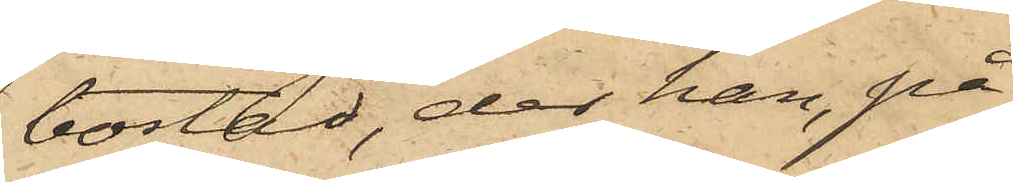bostad, der han, på
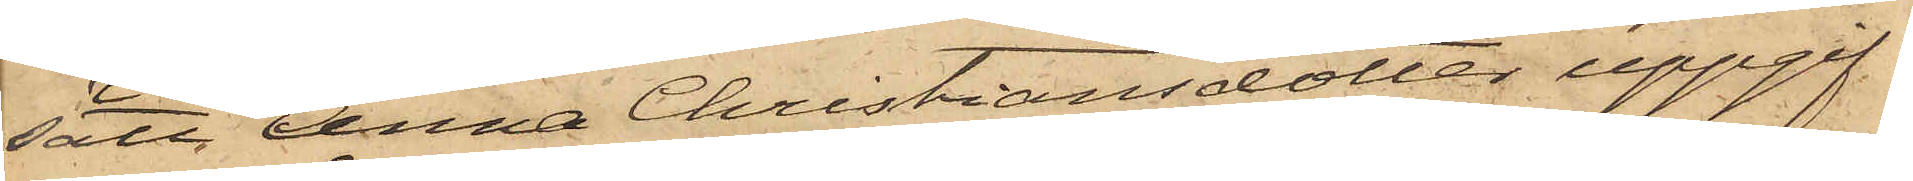sätt Anna Christiansdotter uppgif¬
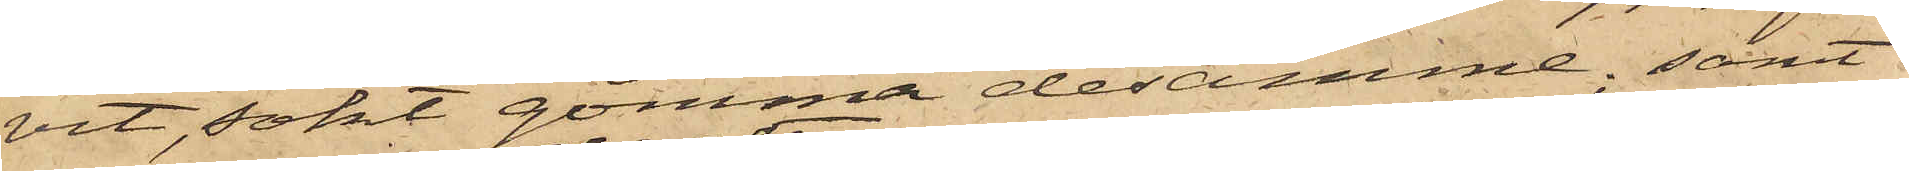vit, sökt gömma desamme; samt
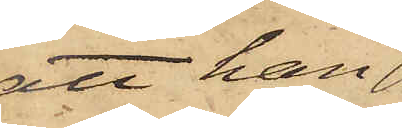att han
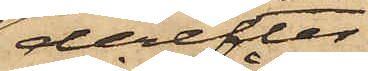derefter
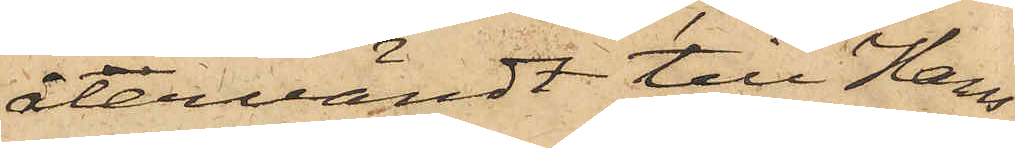återvändt till Hans
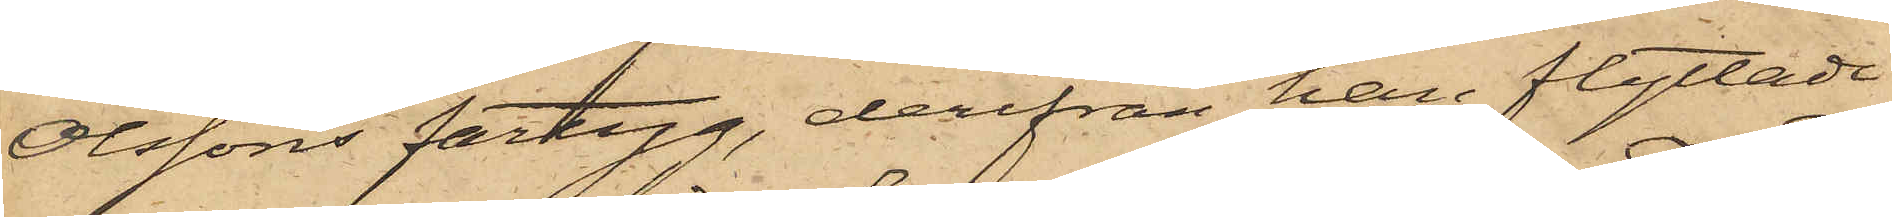Olssons fartyg, derifrån han flyttade
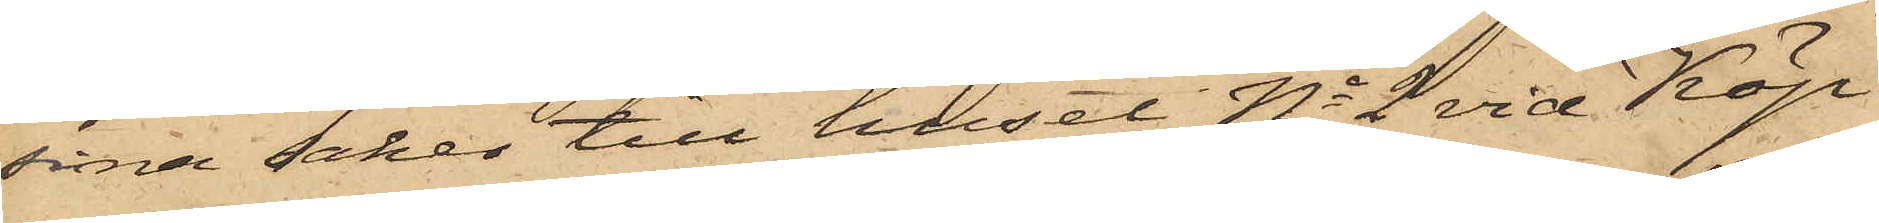sina saker till huset No 2 vid Köp¬
